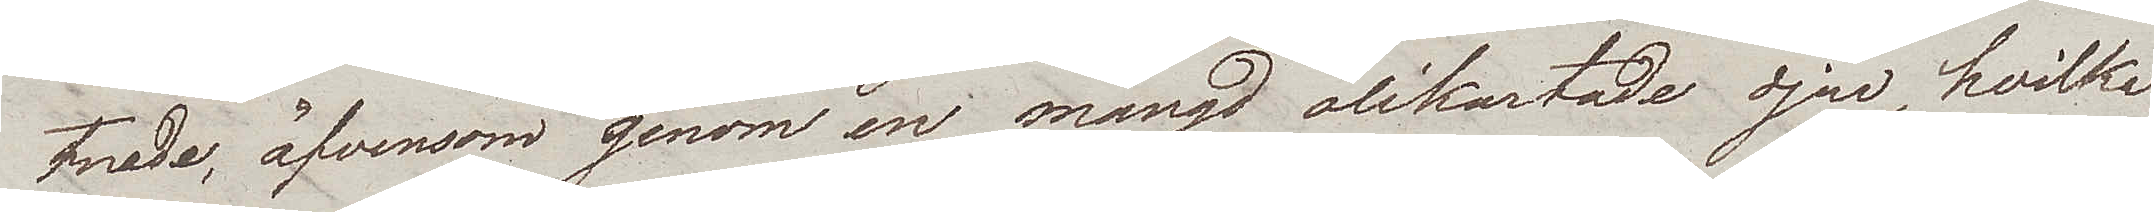tnade, äfvensom genom en mängd olikartade djur, hvilka
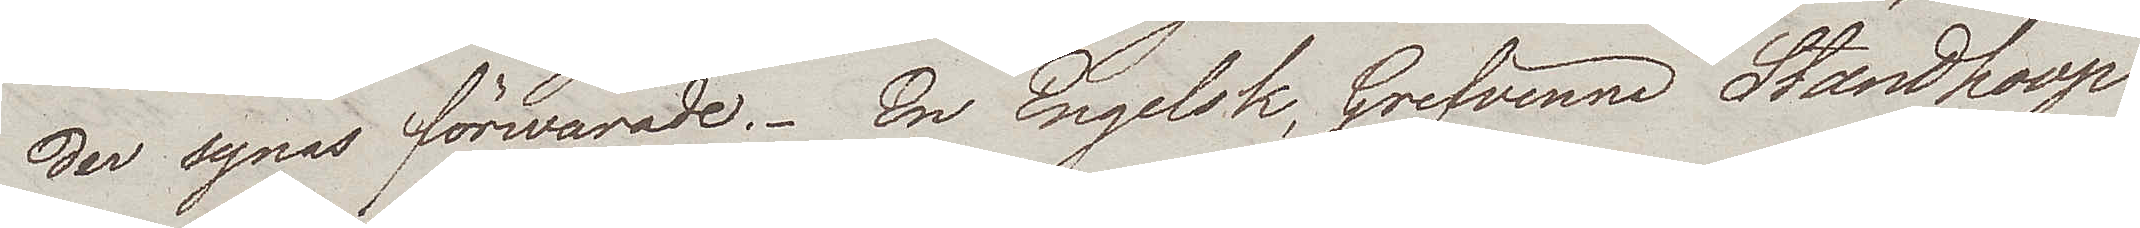der synas förwarade. En Engelsk, Grefvinna Standhoop
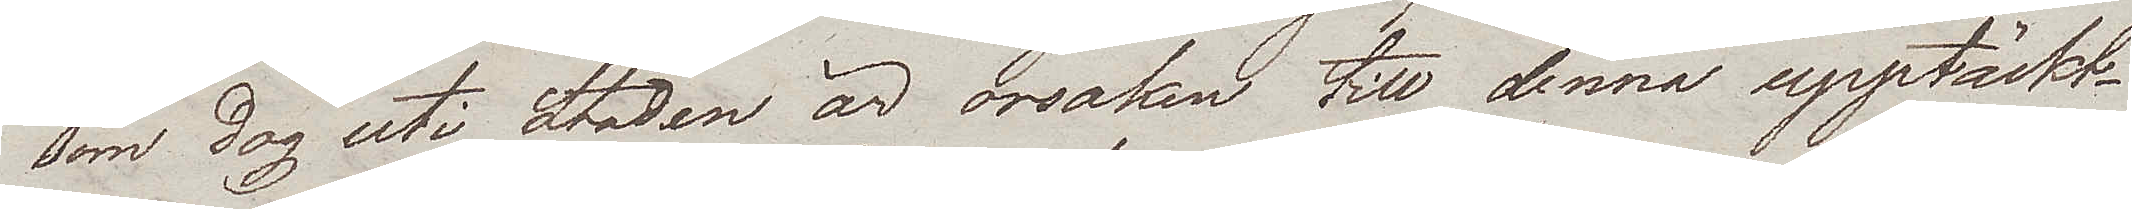som dog uti Staden är orsaken till denna upptäckt.
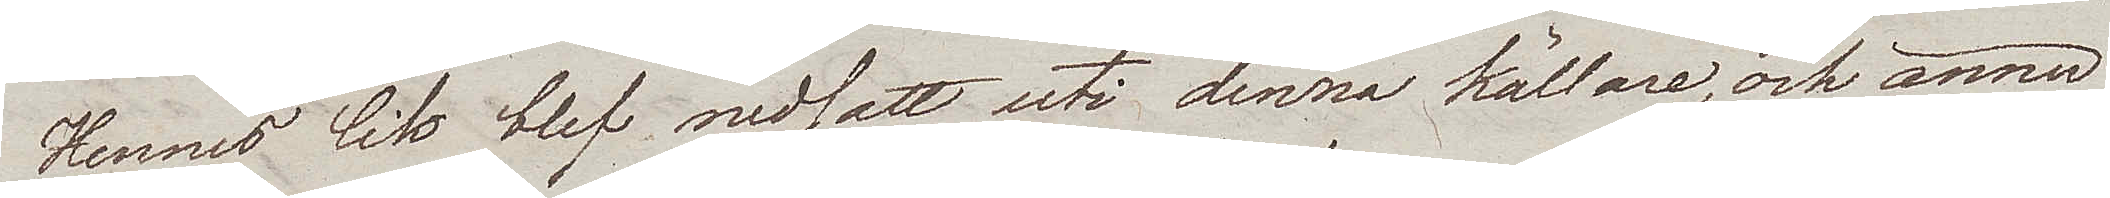Hennes lik blef nedsatt uti denna källare, och ännu
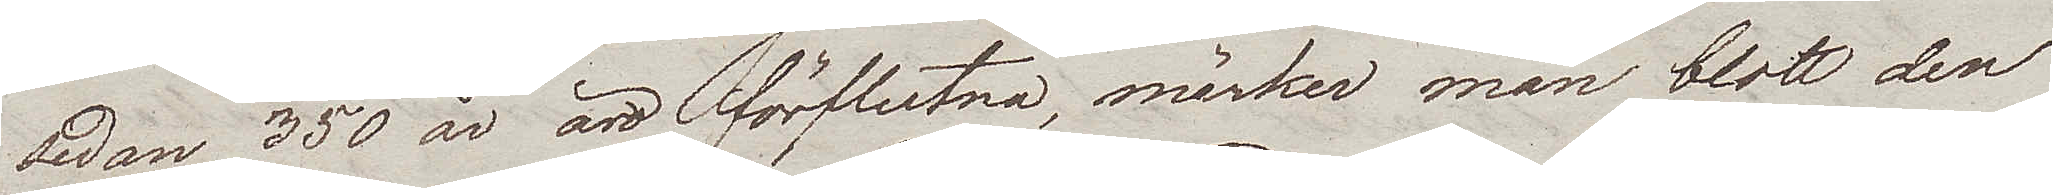sedan 350 år äro förflutna, märker man blott den
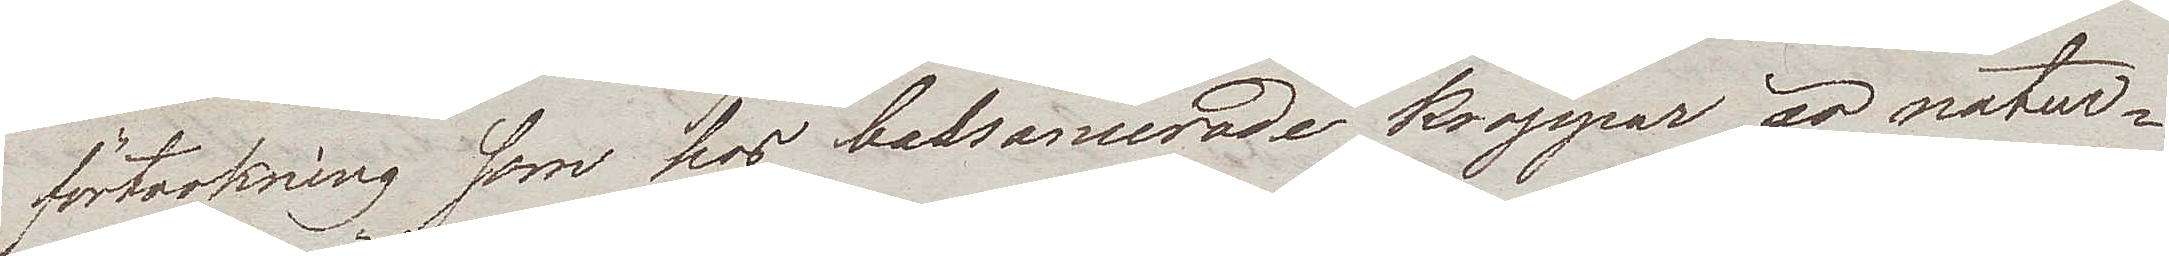förtorkning som hos balsamerade kroppar är natur¬
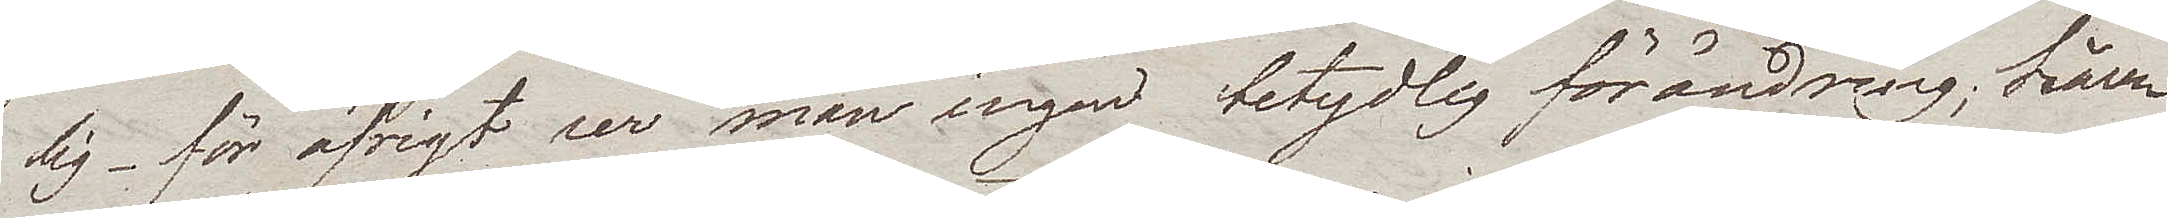lig – för öfrigt ser man ingen betydlig förändring; håren
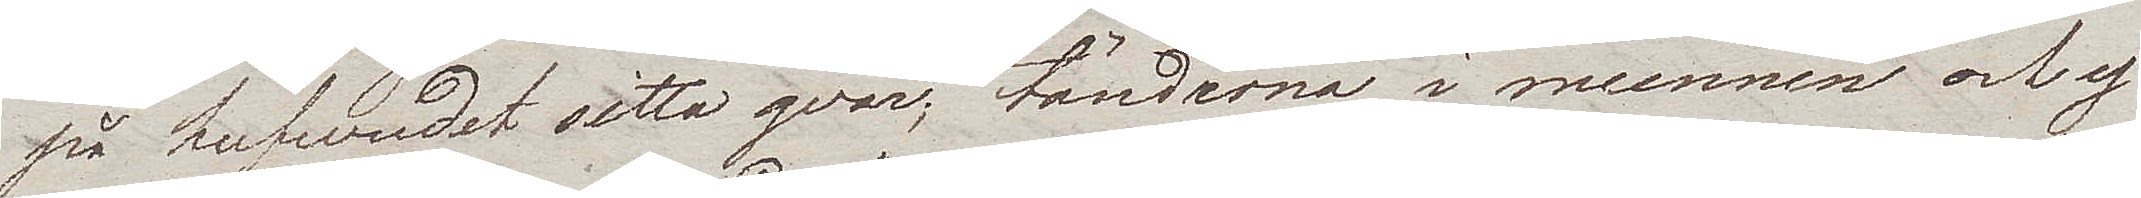på hufvudet sitta qvar; tänderna i munnen och ej
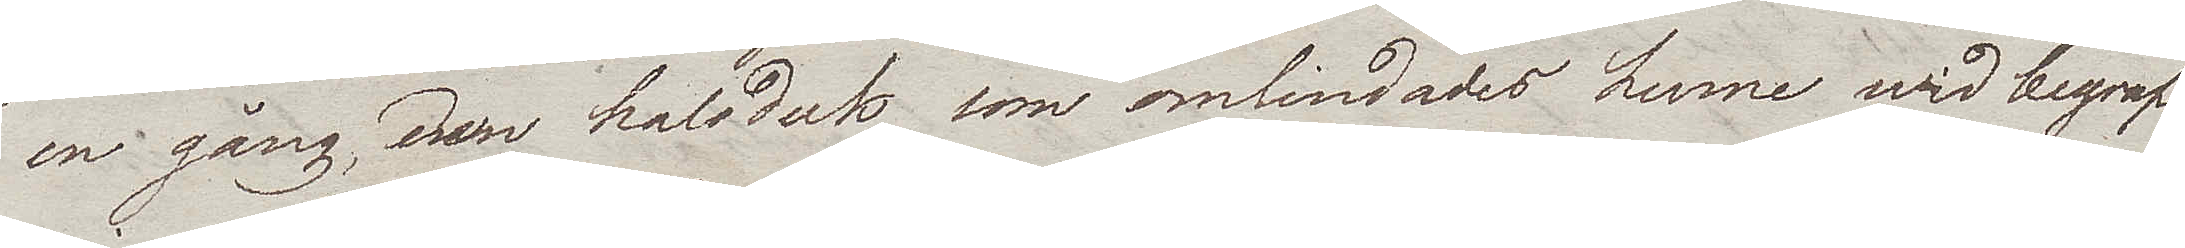en gång, den halsduk som omlindades hene wid begraf¬
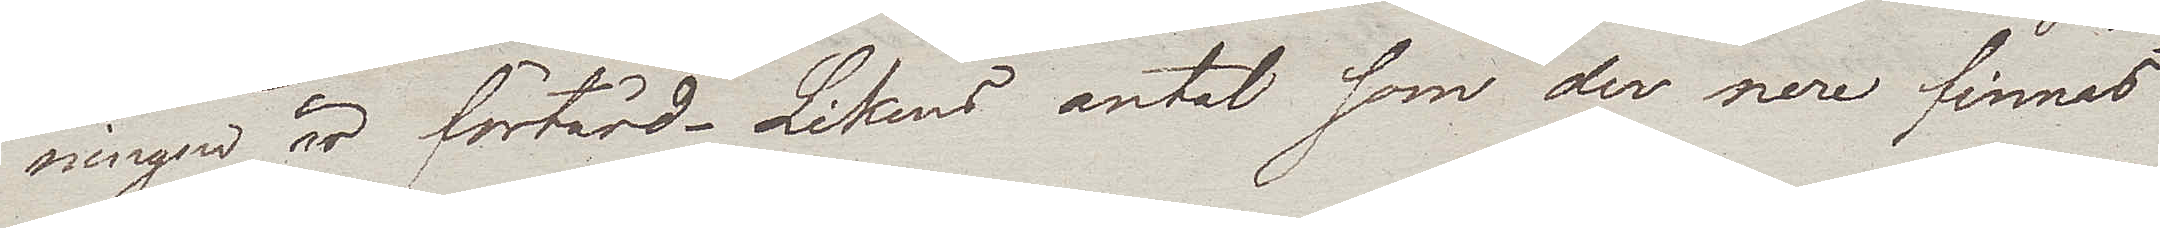ningen är förtärd. Likens antal som der nere finnas
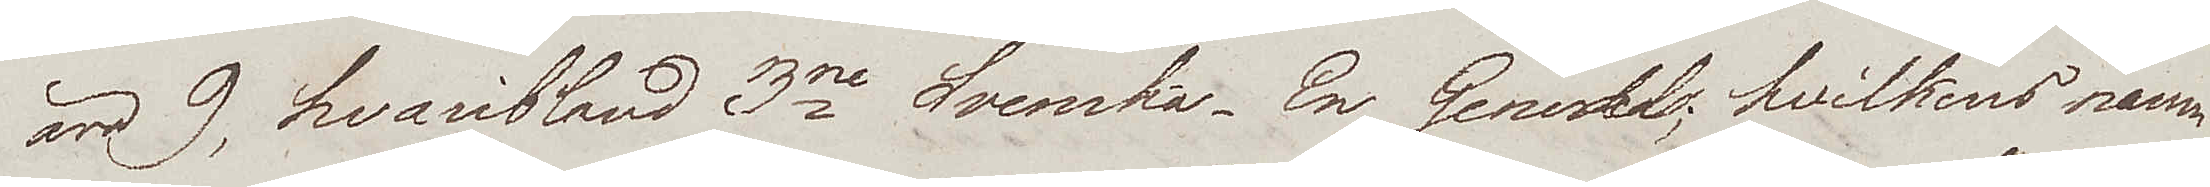äro 9, hvaribland 3ne Svenska. En Generals, hvilkens namn
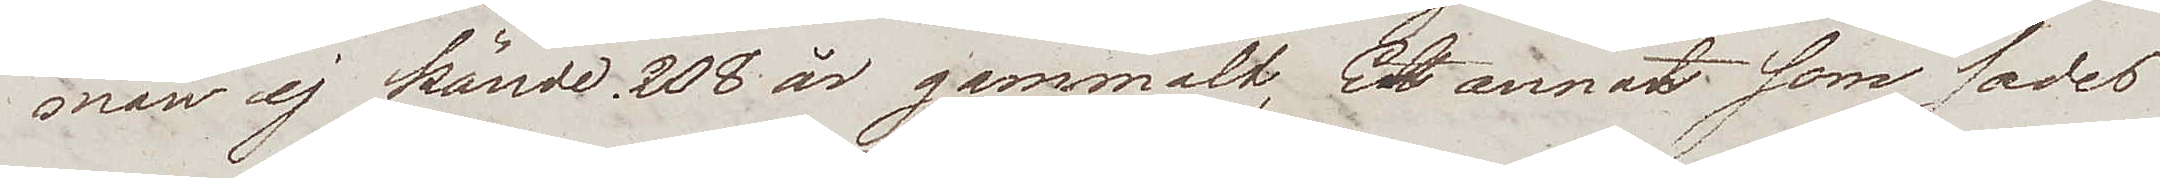man ej kände, 208 år gammalt, Ett annat som sades
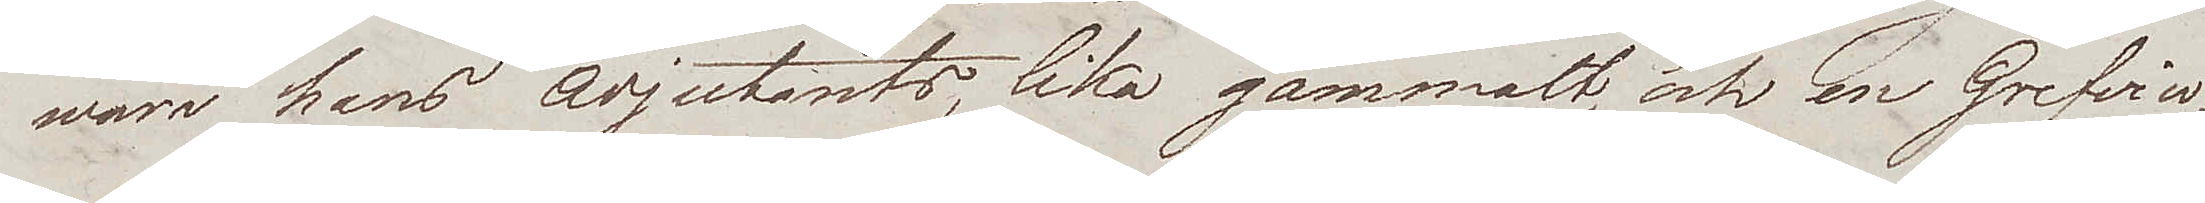wara hans Adjutants, lika gammalt, och en Grefvin¬
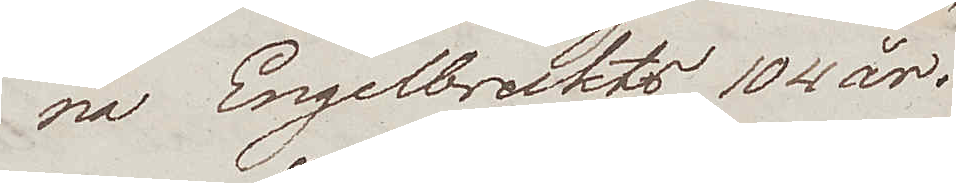na Engelbreckts 104 år.
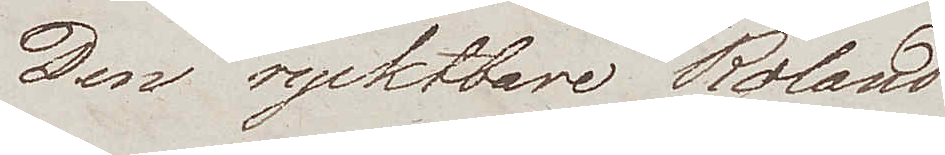Den rycktbare Roland
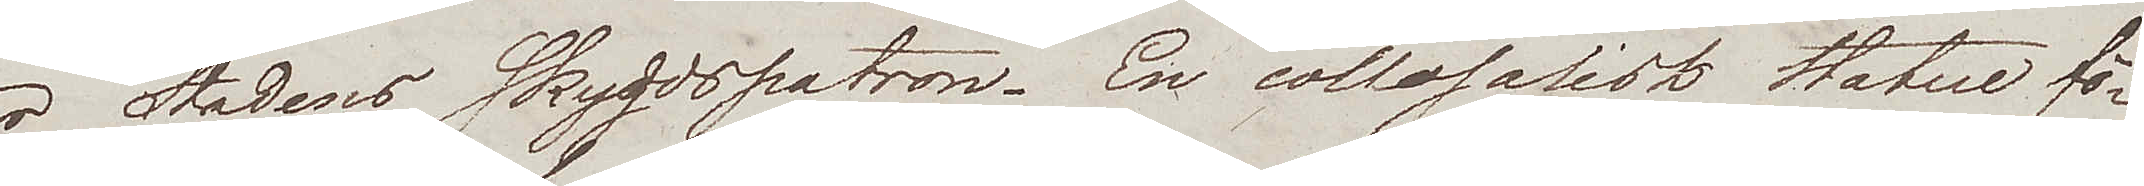är Stadens Skyddspatron. En collosalisk Statue fö¬
